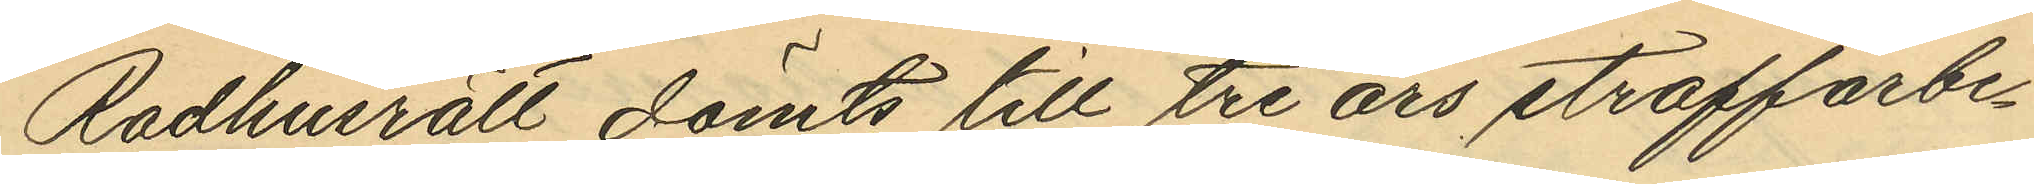Rådhusrätt dömts till tre års straffarbe¬
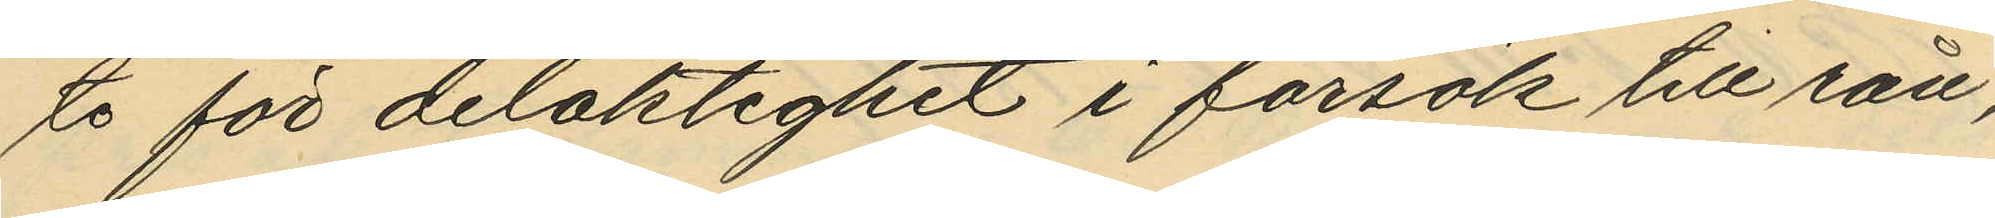te för delaktighet i försök till rån,
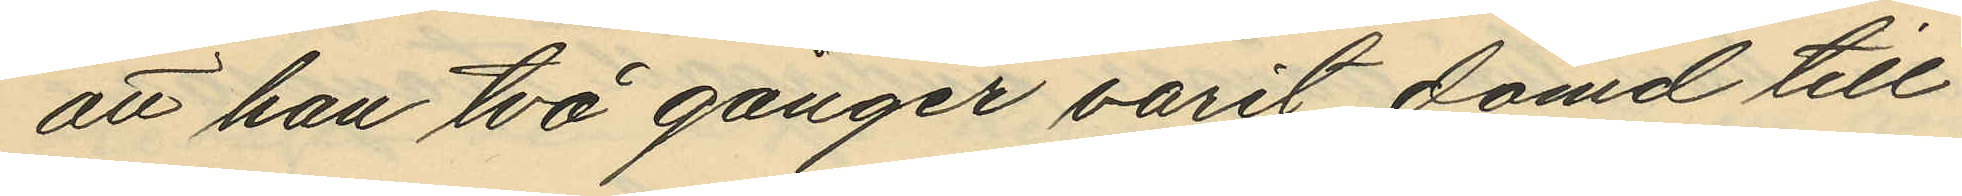att han två gånger varit dömd till
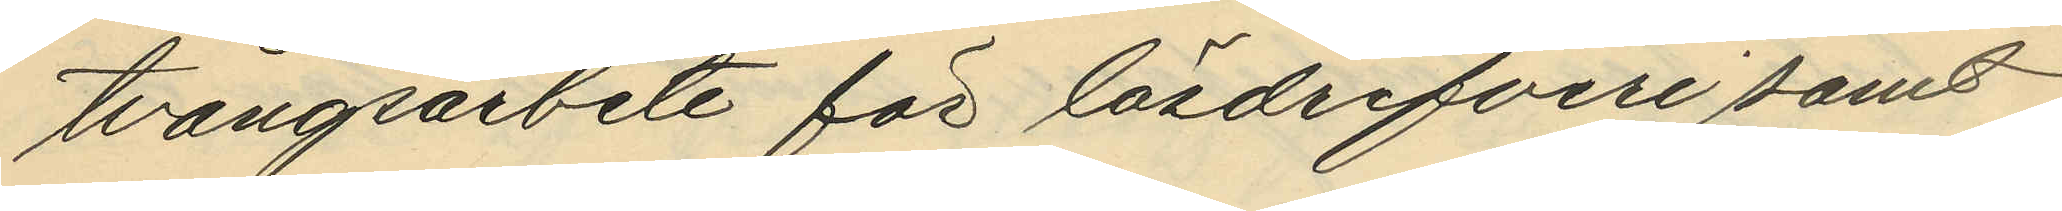tvångsarbete för lösdrifveri samt
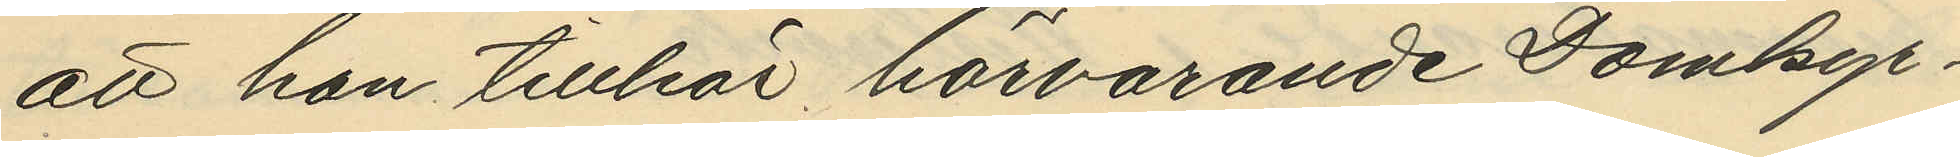att han tillhör härvarande Domkyr¬
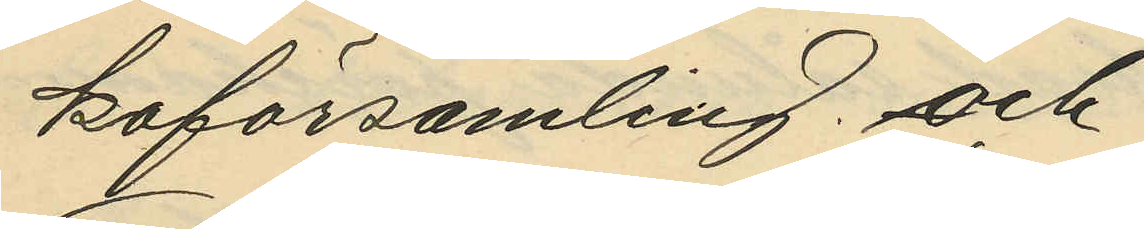koförsamling; och
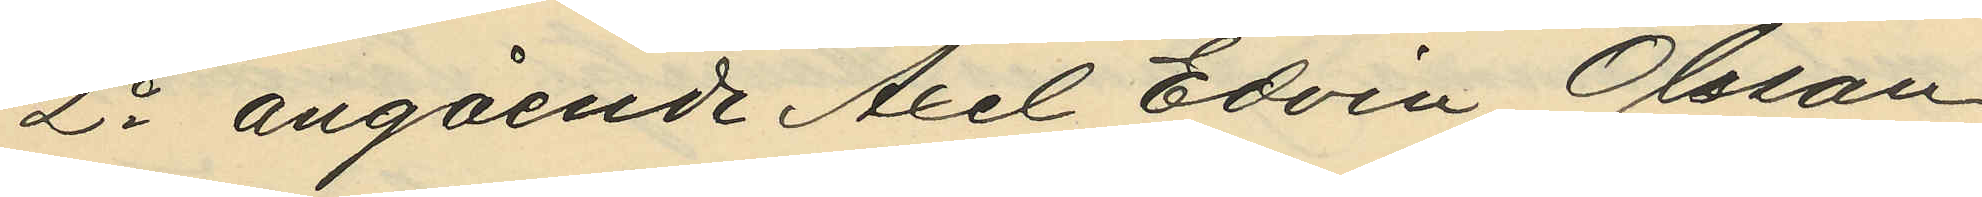2o angående Axel Edvin Olsson
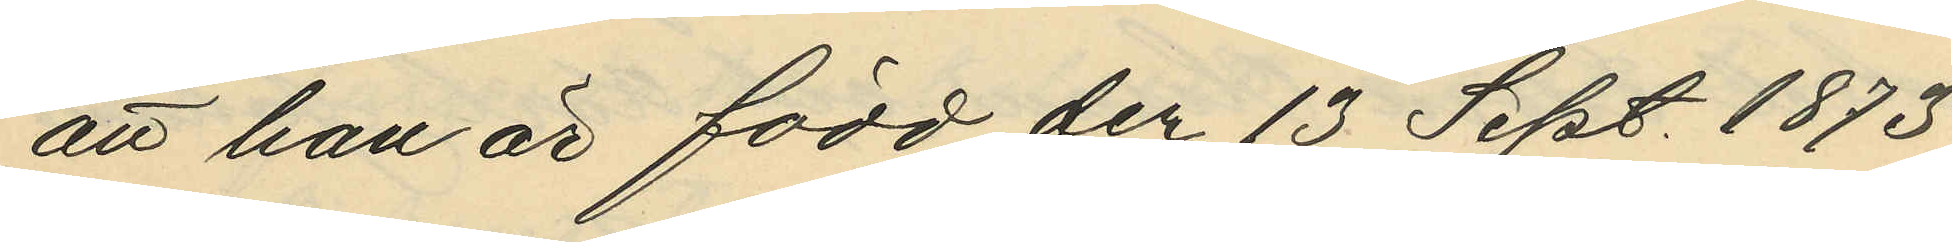att han är född den 13 Sept. 1873
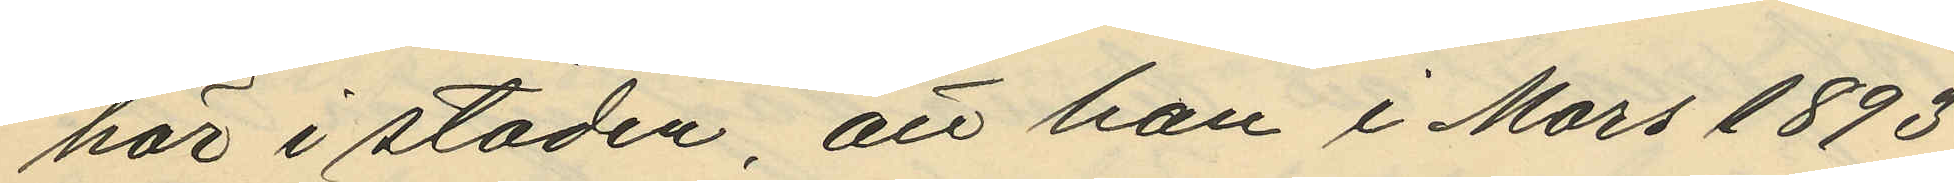här i staden, att han i Mars 1893
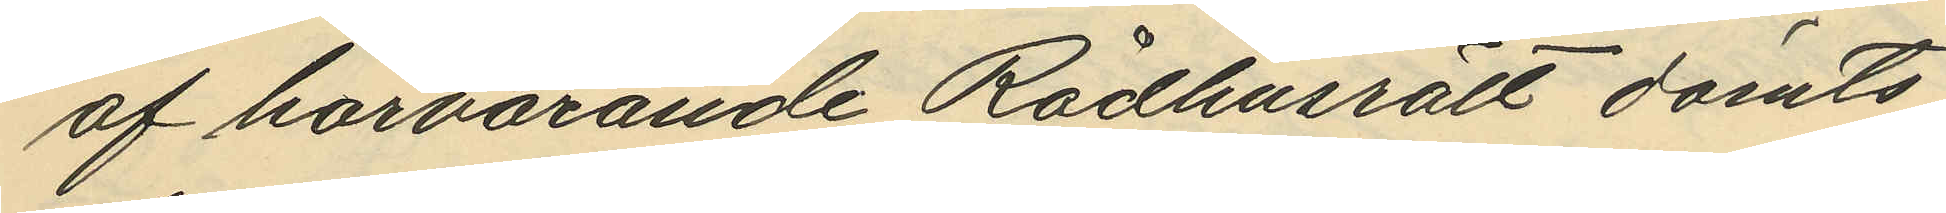af härvarande Rådhusrätt dömts
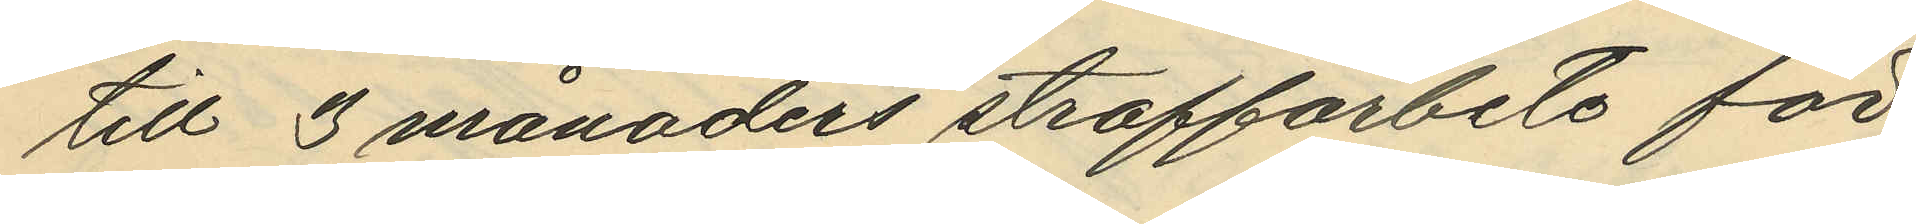till 3 månaders straffarbete för
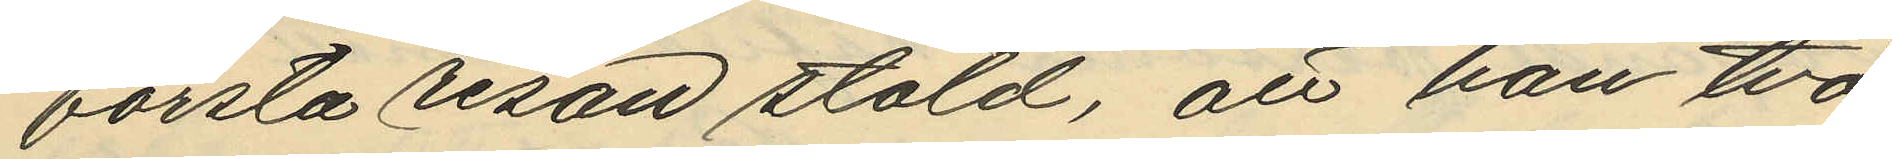första resan stöld, att han två
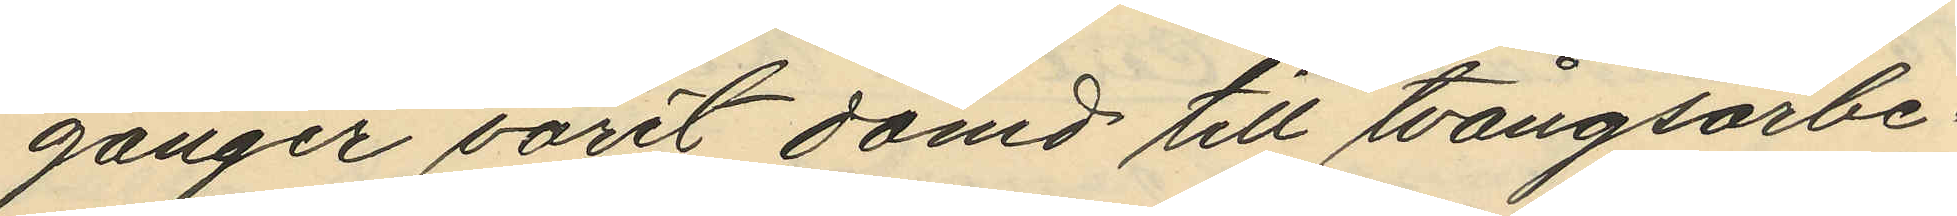gånger varit dömd till tvångsarbe¬
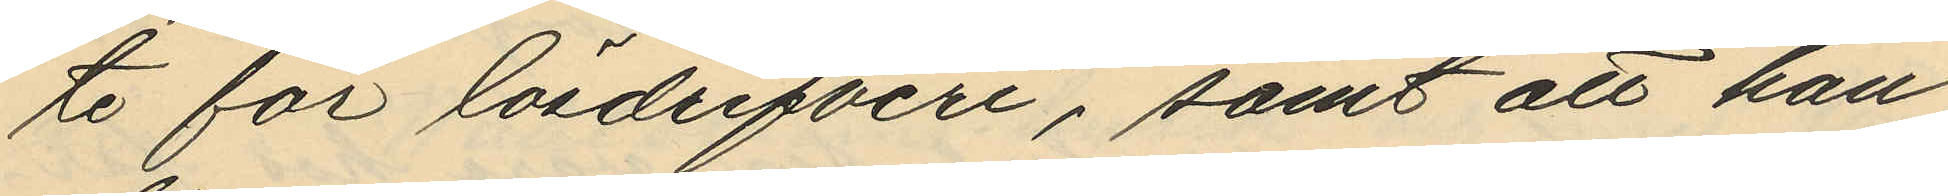te för lösdrifveri, samt att han
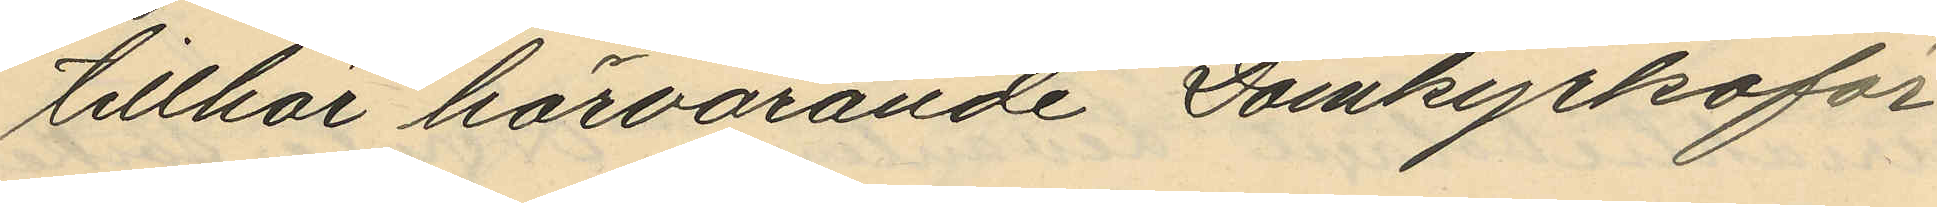tillhör härvarande Domkyrkoför¬
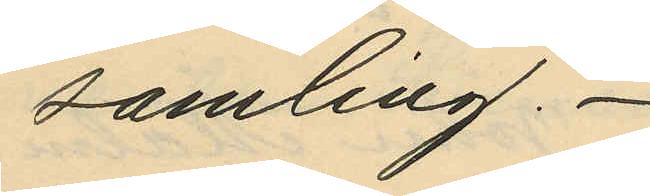samling.
